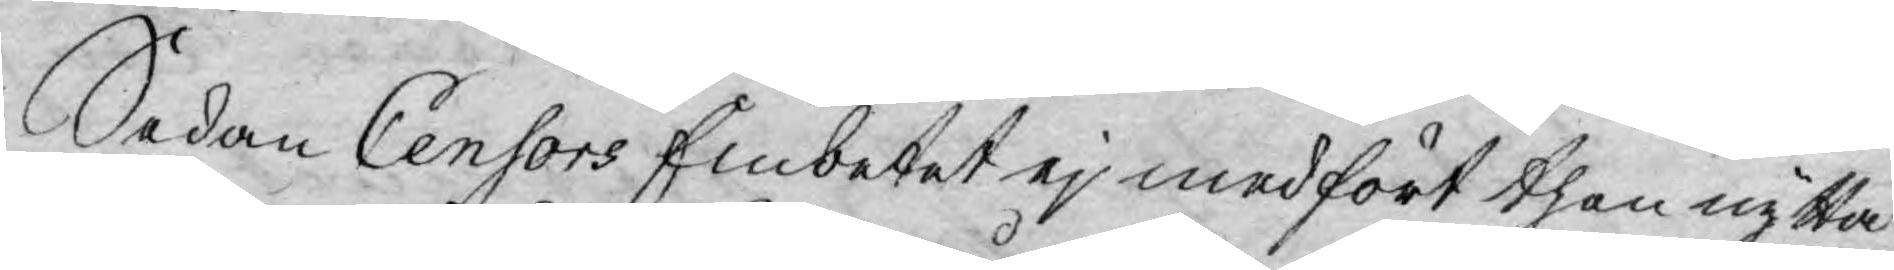Sedan Censors Embetet ej medfört then nytta
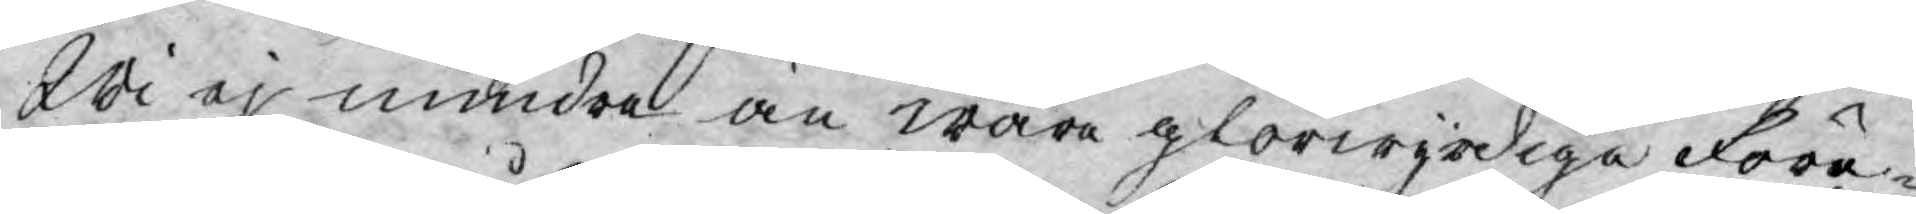Wi ej mindre än wåra glorwyrdiga Före-
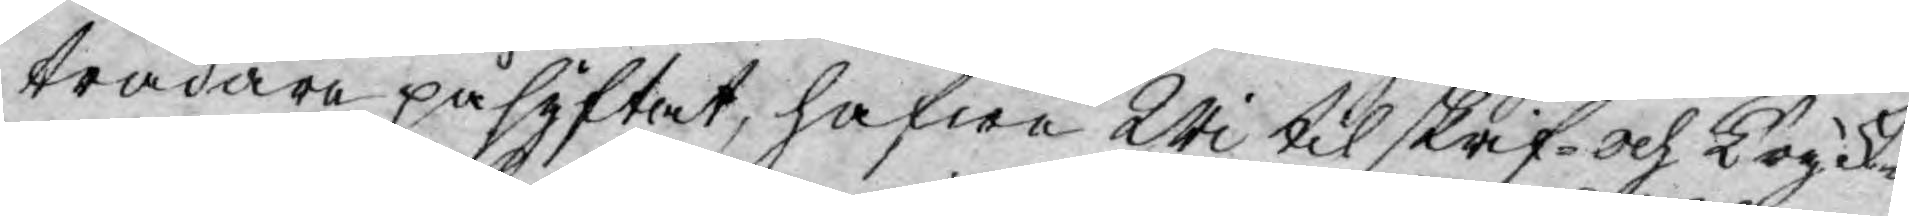trädare påsyftat, hafwa Wi til skrif- och Tryck¬
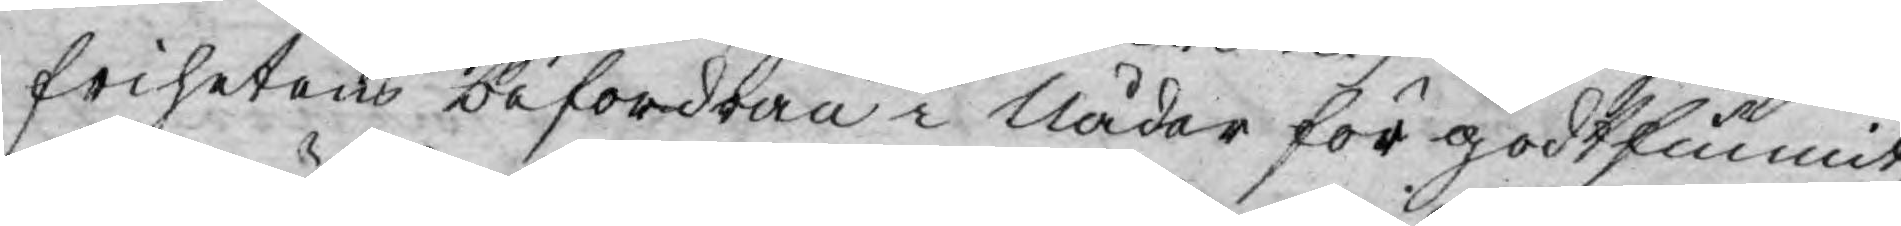frihetens befordran i Nåder för godtfunnit,
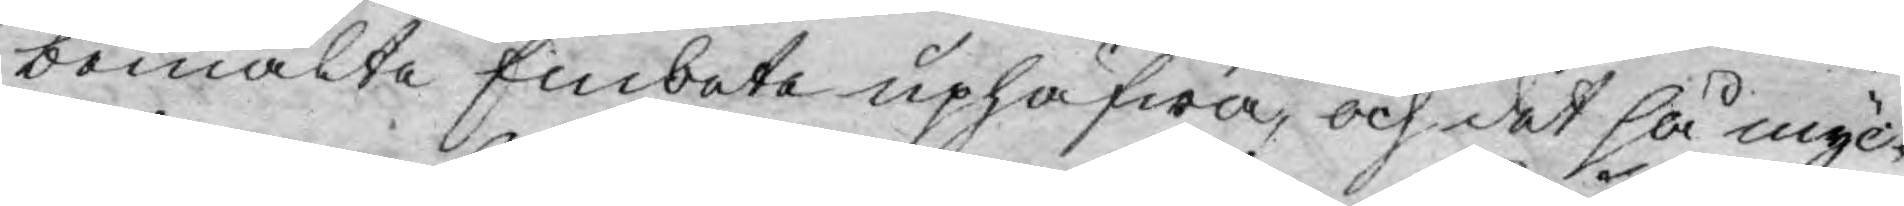bemälte Embete uphäfwa, och det så myc¬
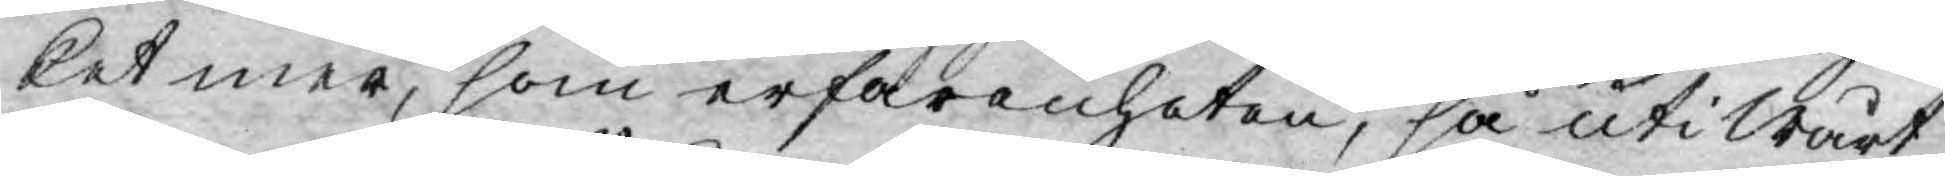ket mer, som erfarenheten, så uti Wårt
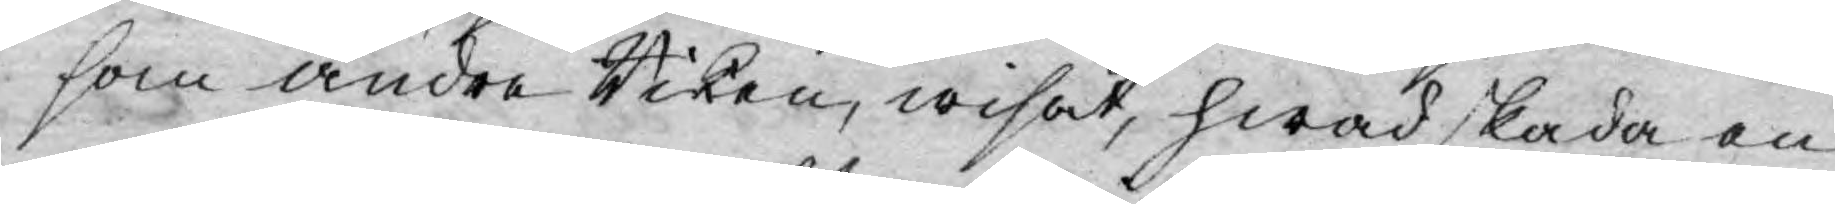som andre Riken, wisat, hwad skada en
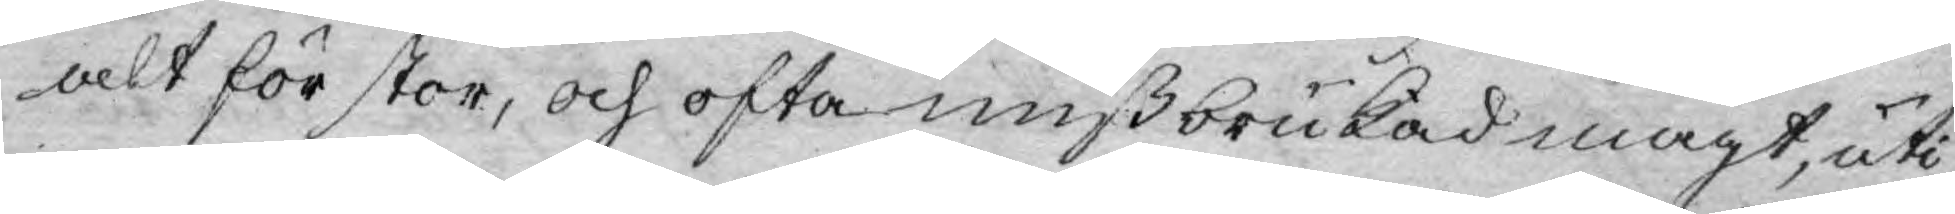alt för stor, och ofta missbrukad magt, uti
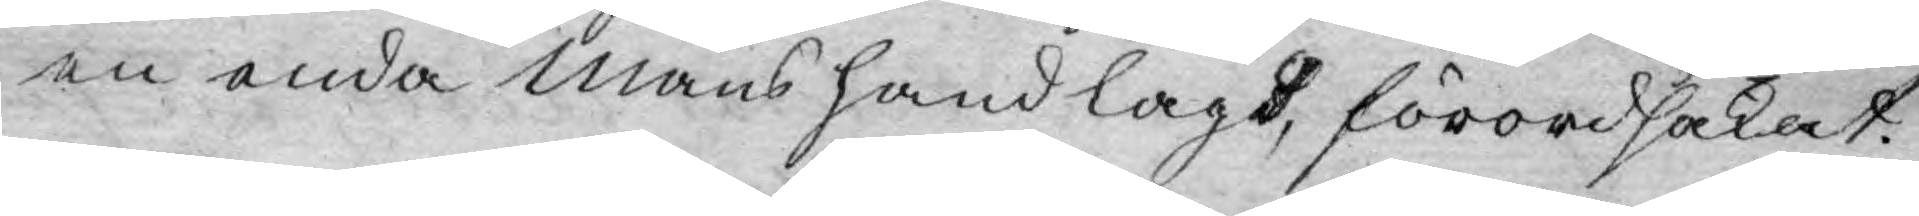en enda mans hand lagt, förordsakat.
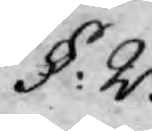§: 2.
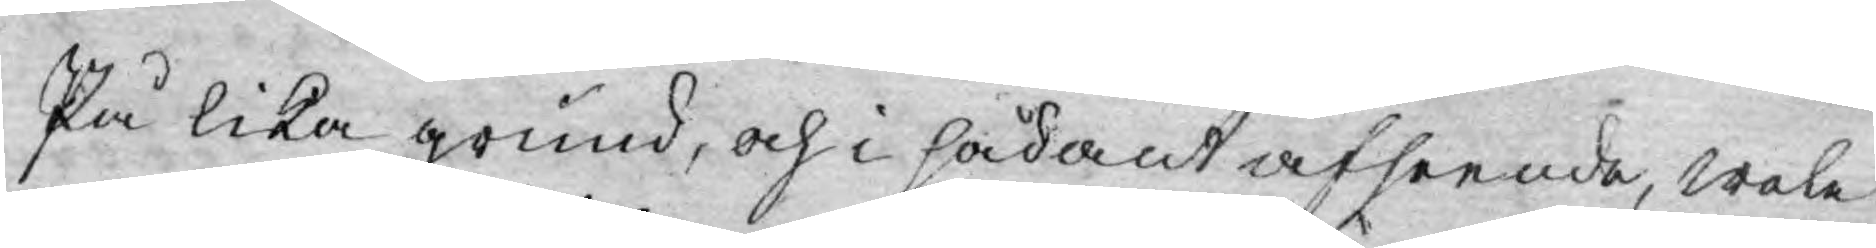På lika grund, och i sådant afseende, wele
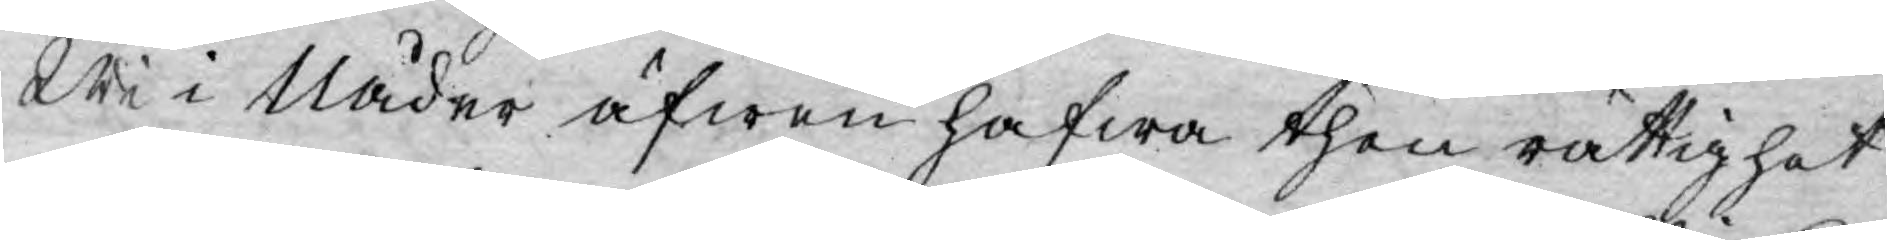Wi i Nåder äfwen hafwa then rättighet
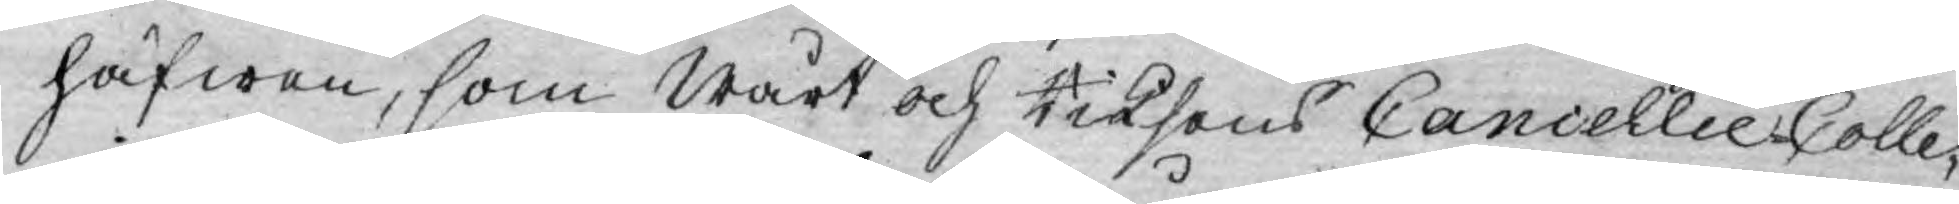häfwen, som Wårt och Riksens Cancellie Colle¬
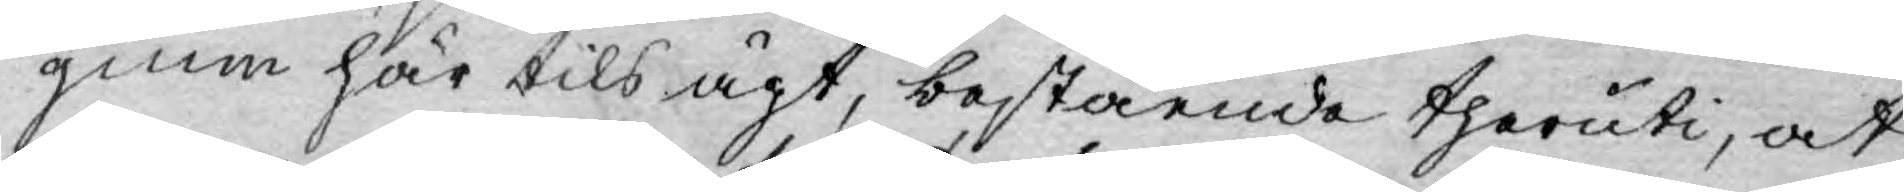gium här tils ägt, bestående theruti, at
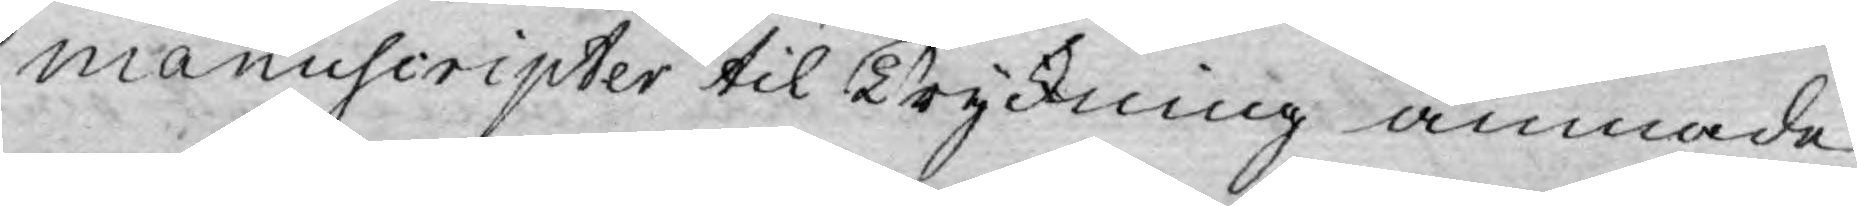manuscripter til Tryckning ämnade
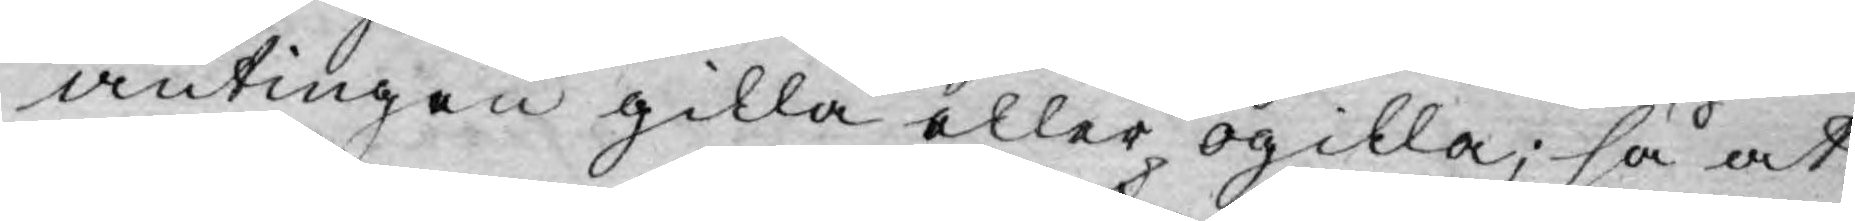antingen gilla eller ogilla; så at
